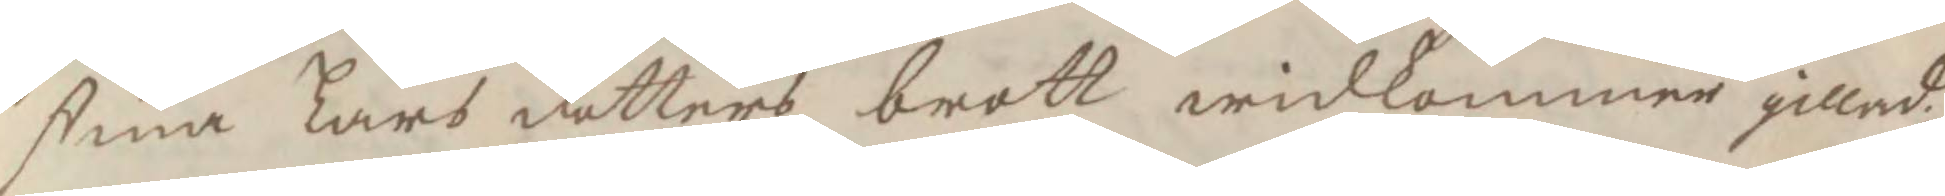stina Lars dotters brott widkommer gillad;
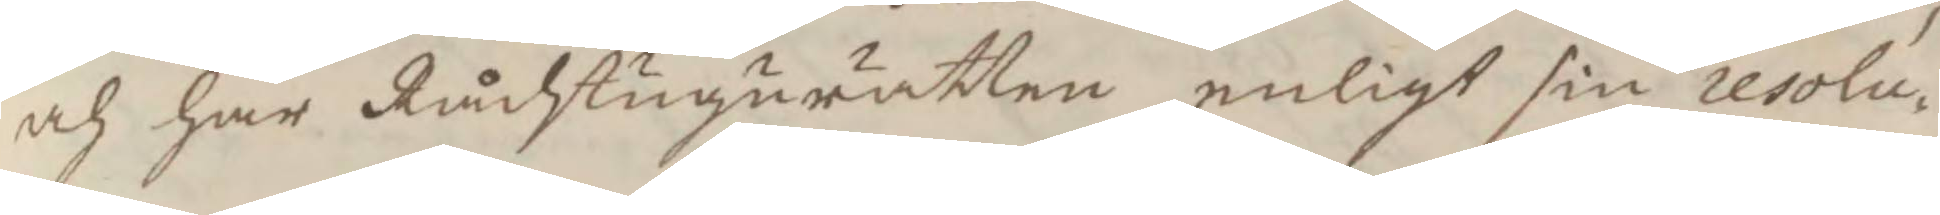och har Rådstugurätten enöigt sin resolu¬
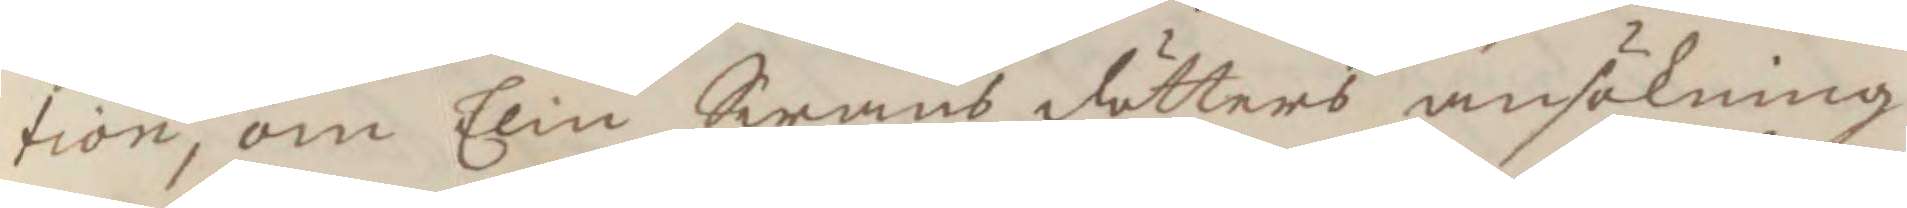tion, om Elin Swens dötters ansökning
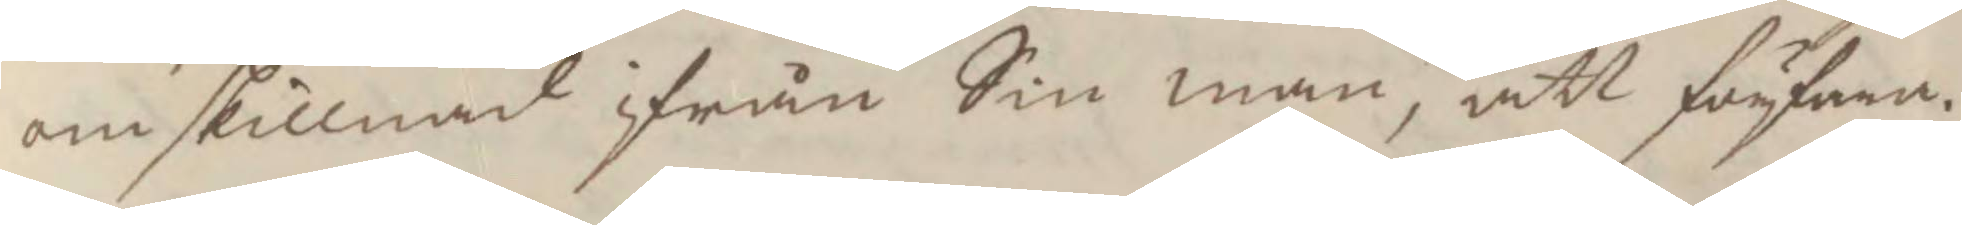om skillnad ifrån Sin man, att förfara.
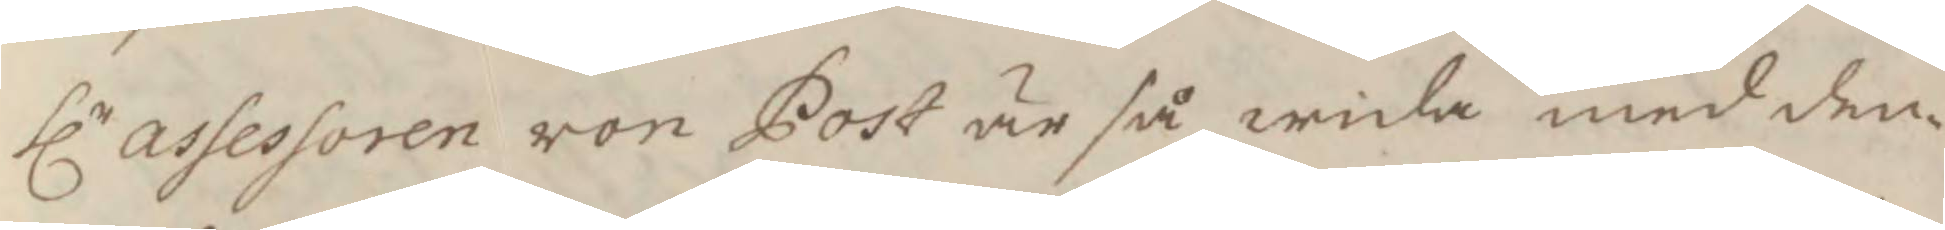hlr assessoren von Post är så wida med den¬
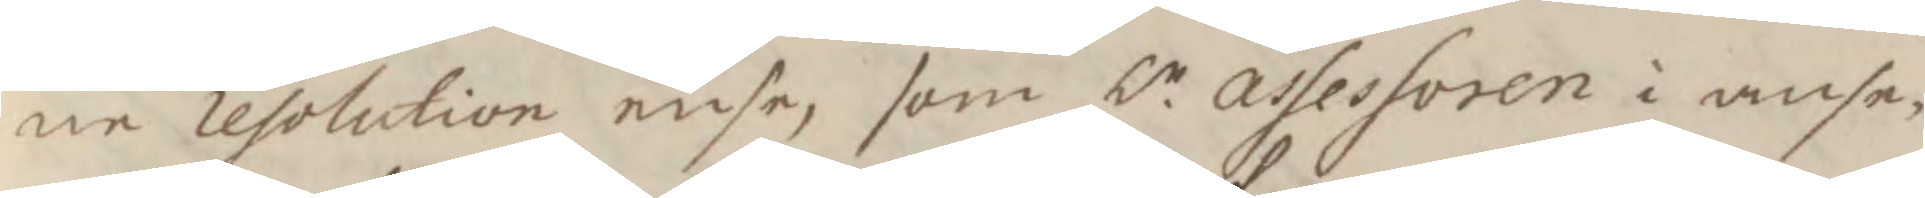ne resolutionn ense, som hr assessoren i anse¬
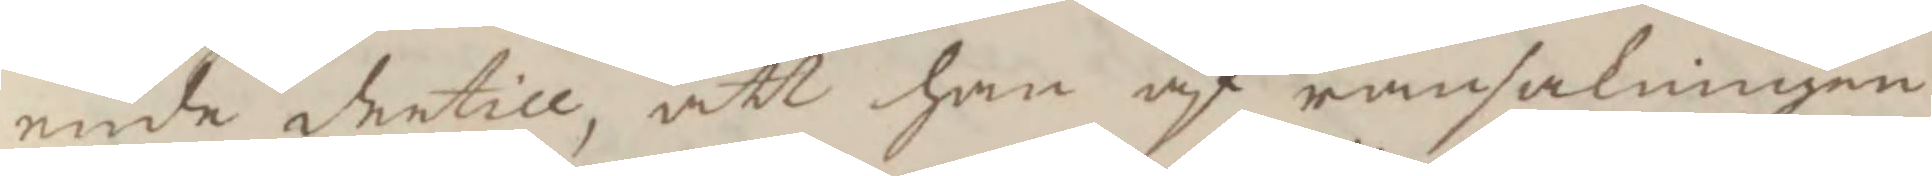ende dertill, att han af ransakningen
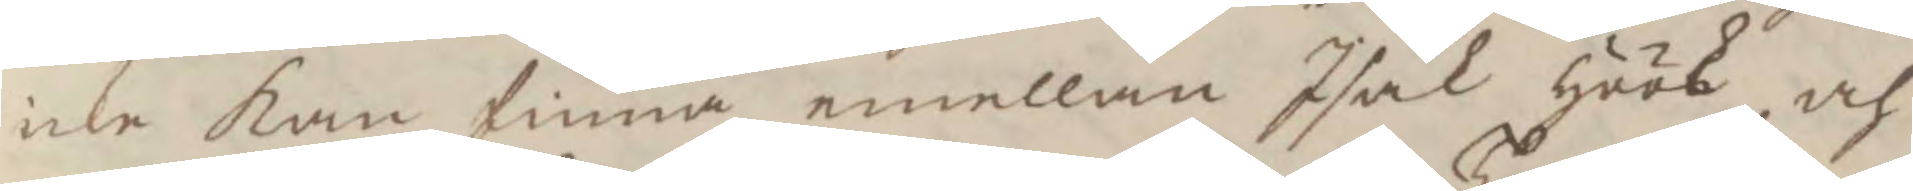icke kan finna emellan Isak Höök och
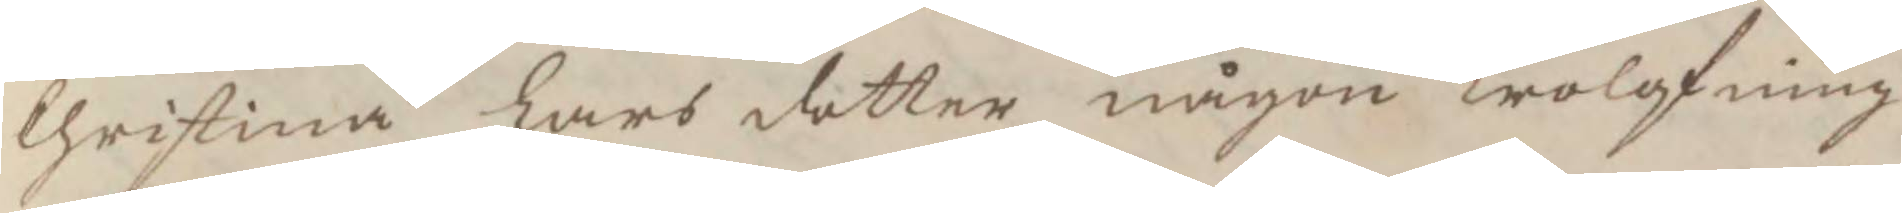Christina Lars dotter någon Trolofning
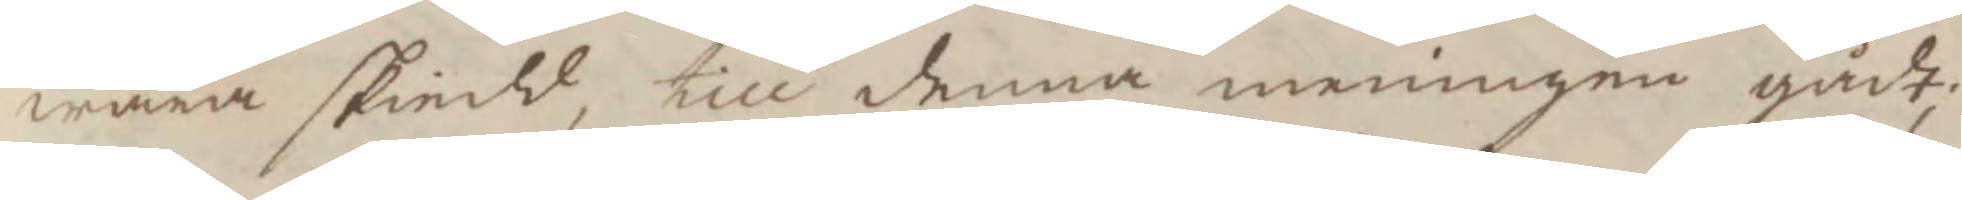wara skiedd, till denna meningen gåft,
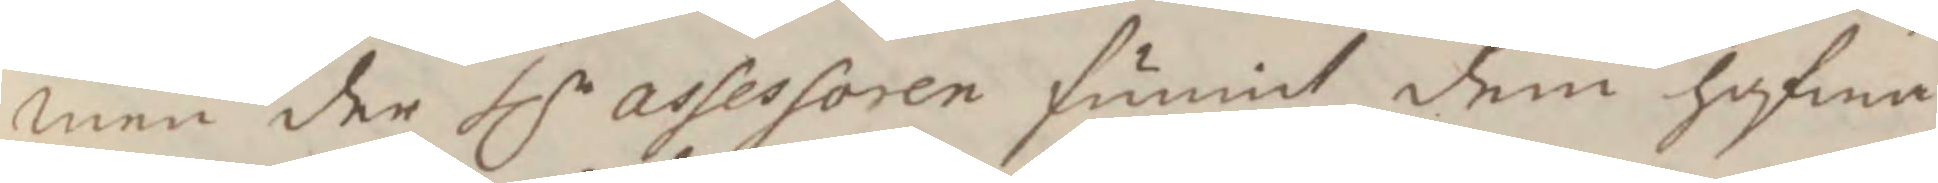men der hlr assessoren funnit dem hafwa 
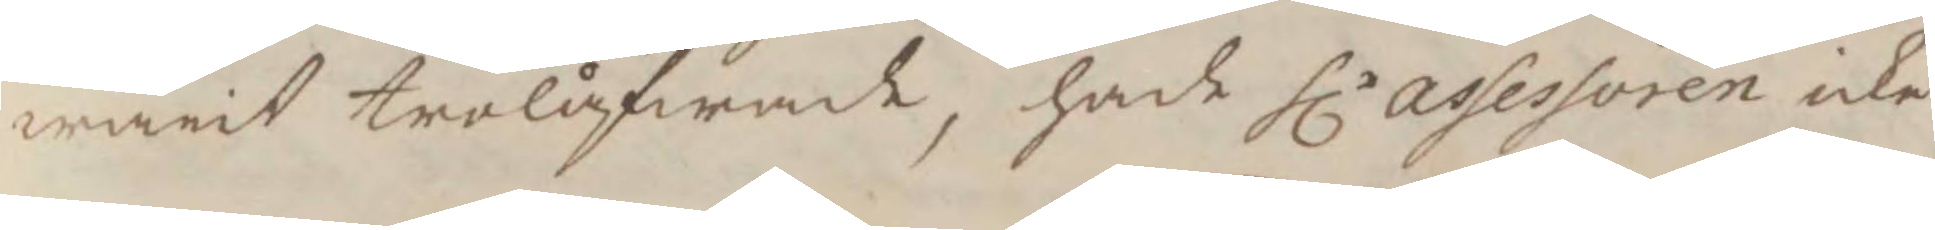warit trolåfwade, hade hlr assessoren icke
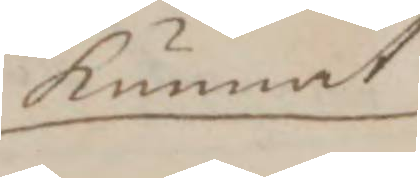kunnat
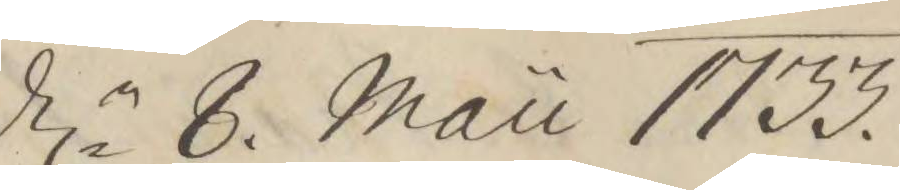d.n 8. Mau 1733.
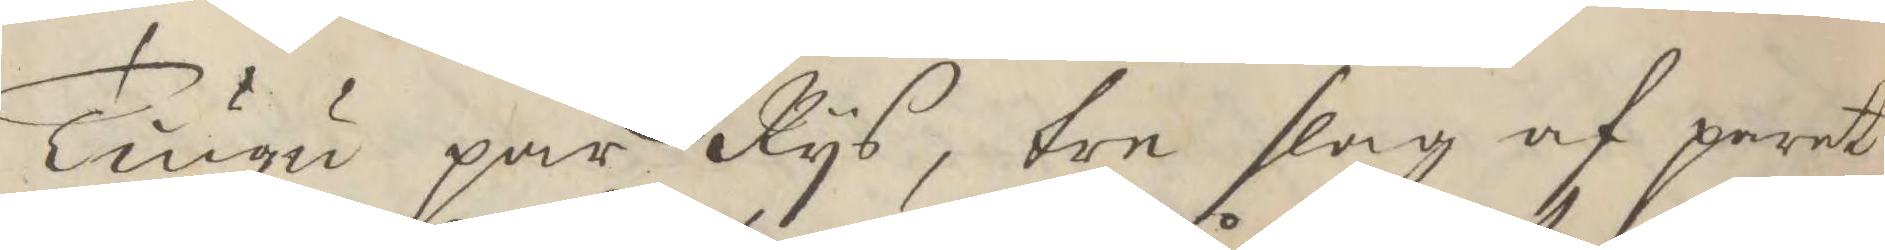Tiugu par Rys, tre slag af paret,
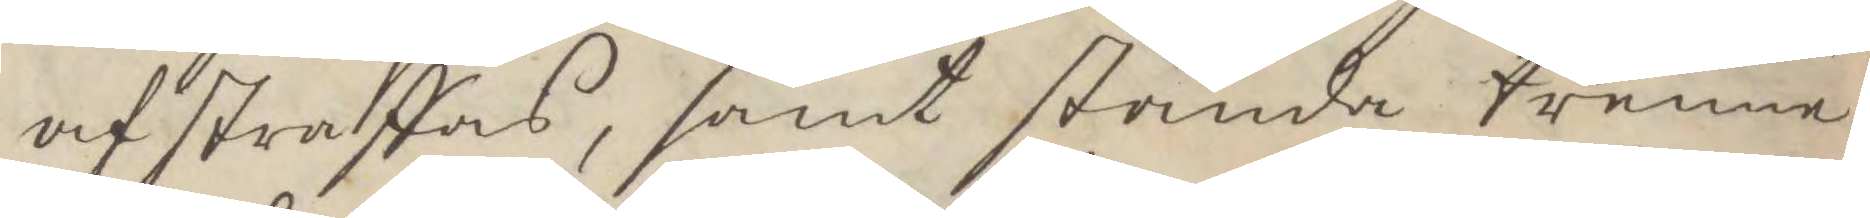af straffas, samt stånda trenne
